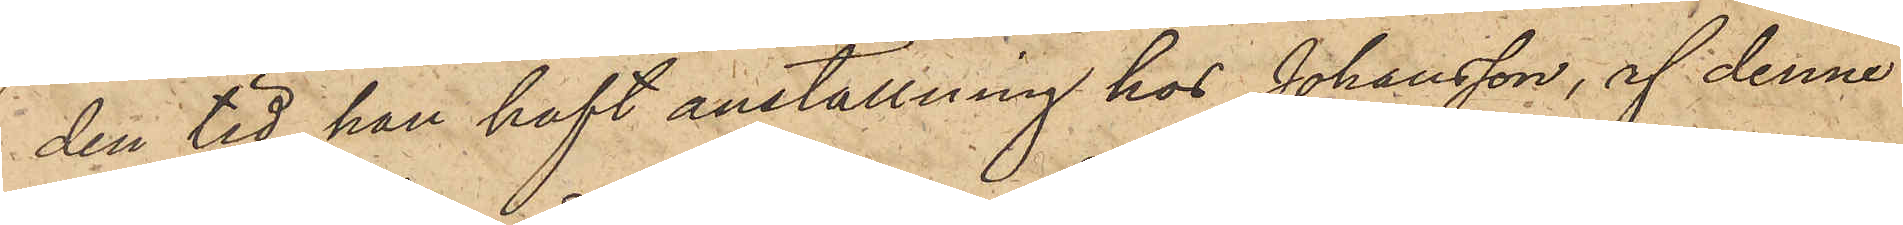den tid han haft anställning hos Johansson, af denne
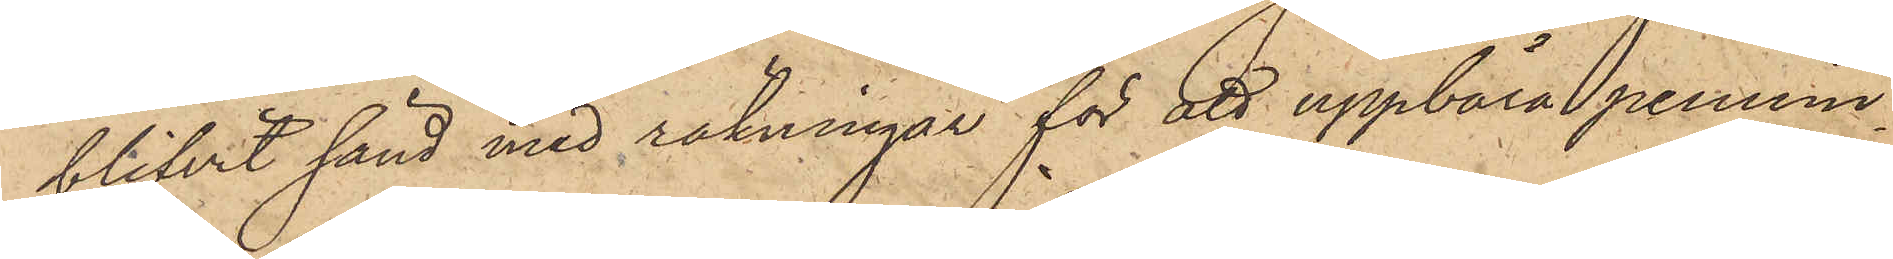blifvit sänd med räkningar för att uppbära pennin¬
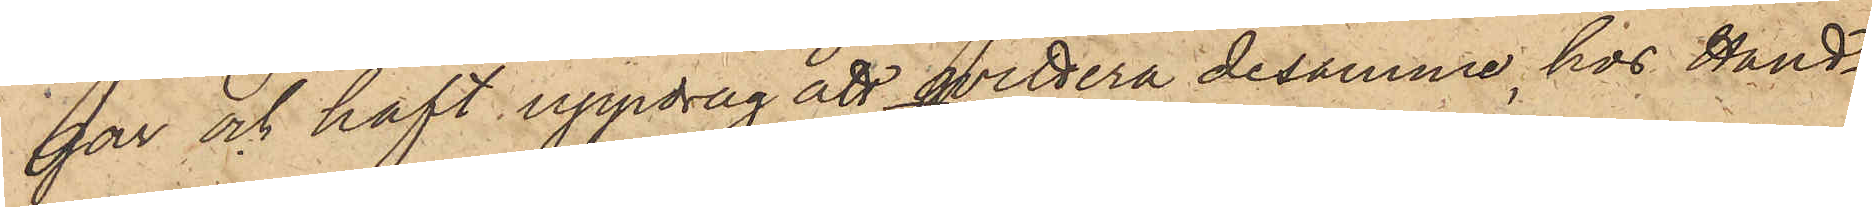gar och haft uppdrag att hvittera desamme hos Hand¬
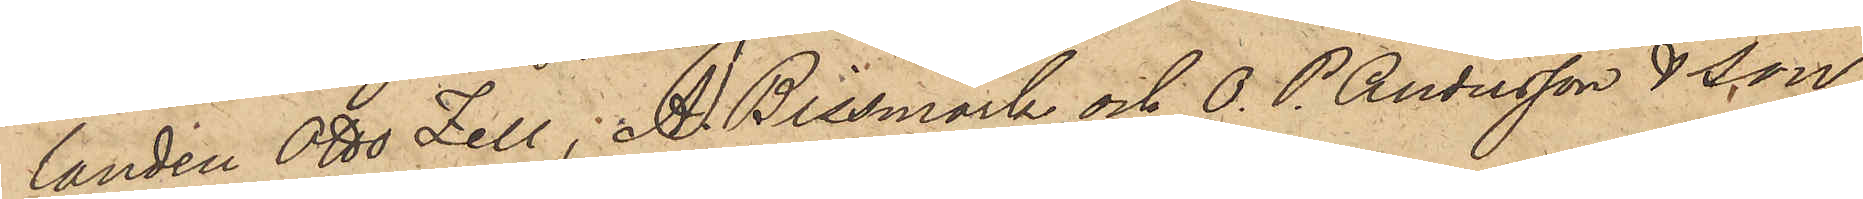landen Otto Zell, A. Bissmark och O. P. Andersson & Son
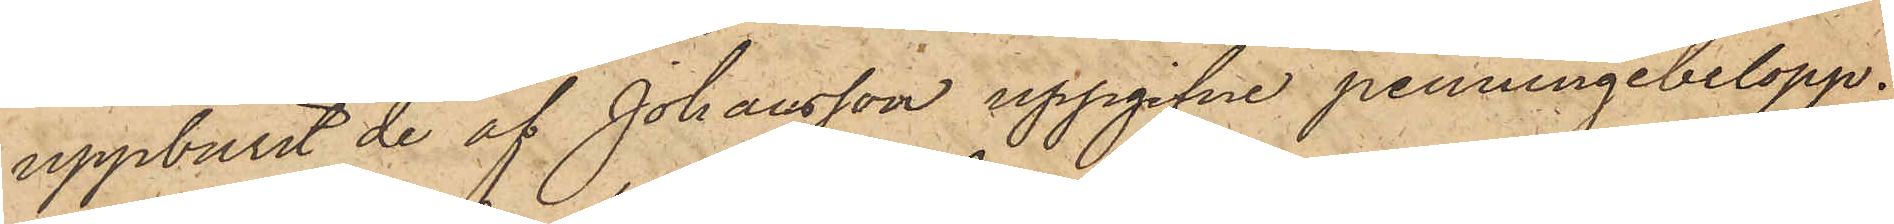uppburit de af Johansson uppgifne penningebelopp;
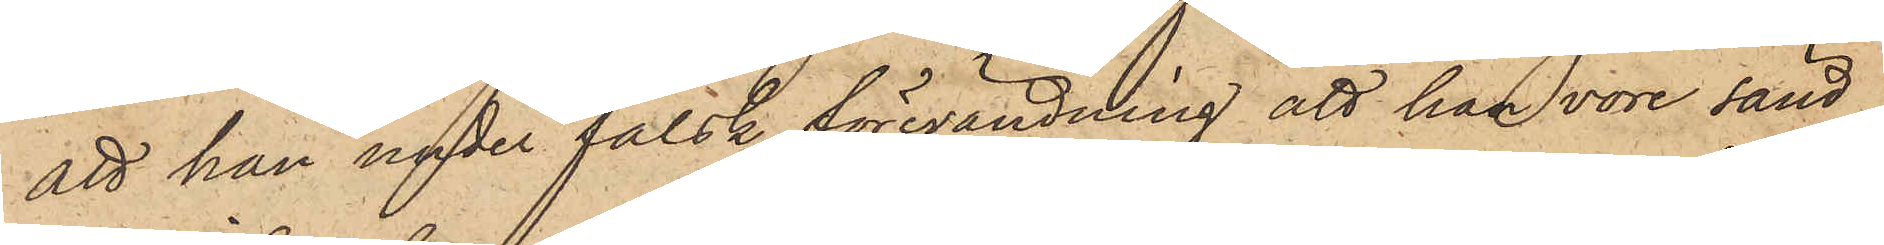att han under falsk förevändning att han vore sänd
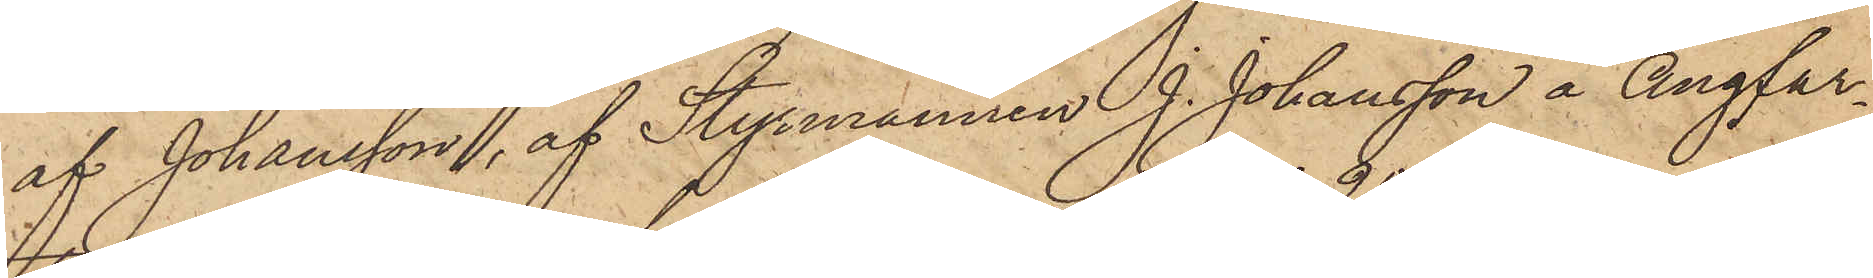af Johansson, af Styrmannen J. Johansson å ångfar¬
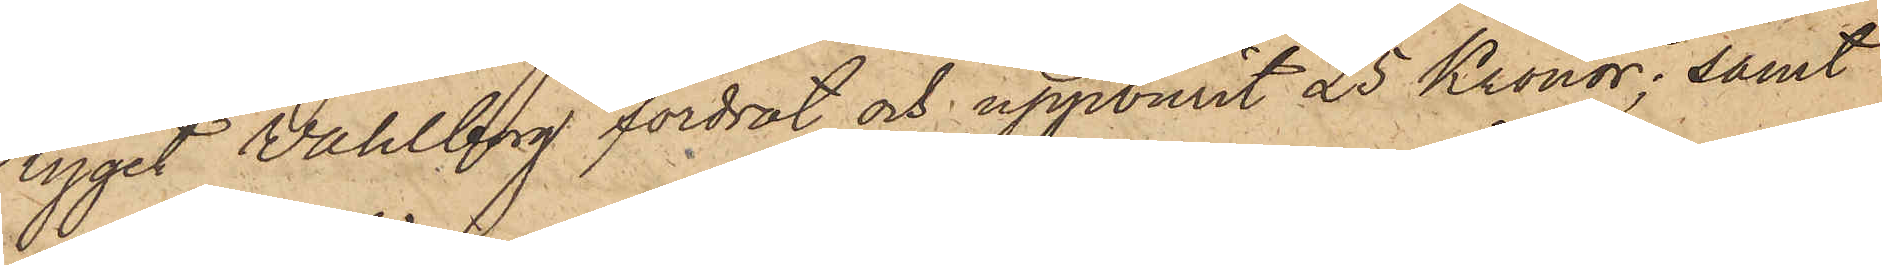tyget Wahlberg fordrat och uppvunit 25 Kronor; samt
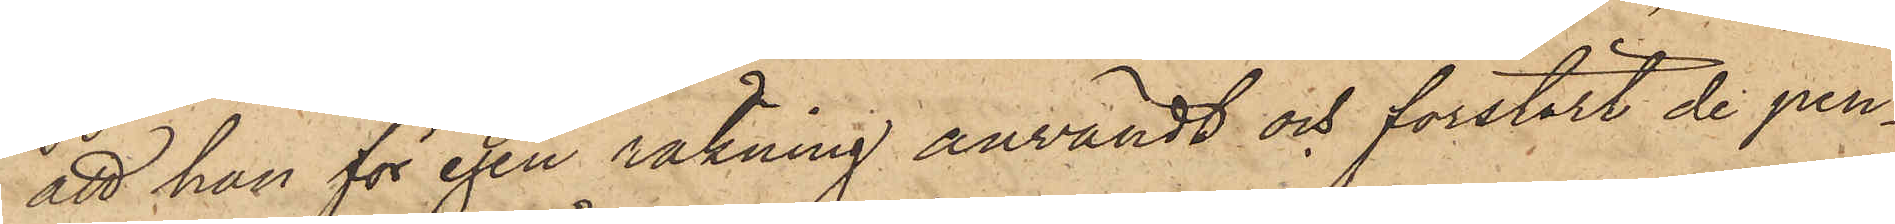att han för egen räkning användt och förstört de pen¬
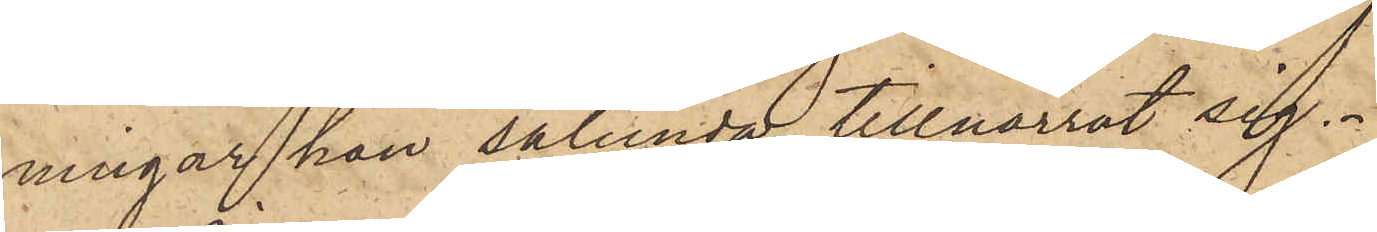ningar han sålunda tillnarrat sig.
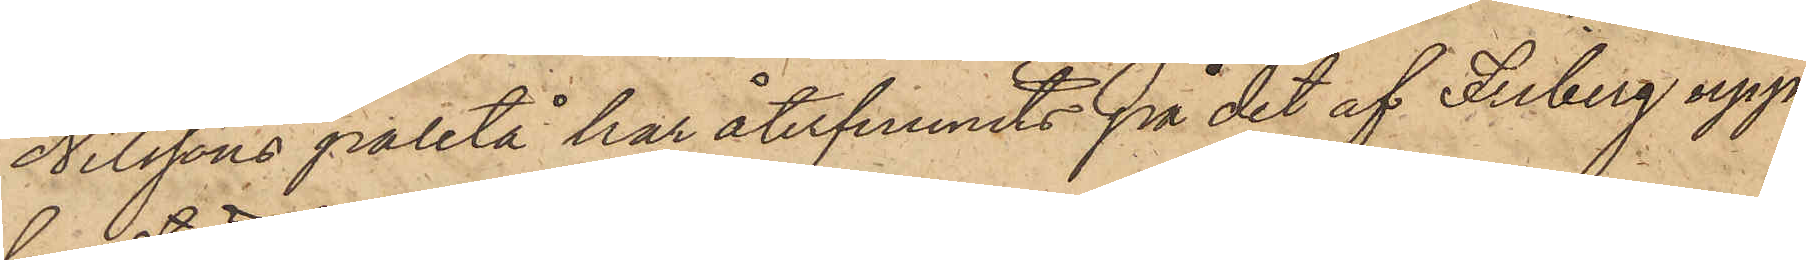Nilssons paletå har återfunnits på det af Friberg upp¬
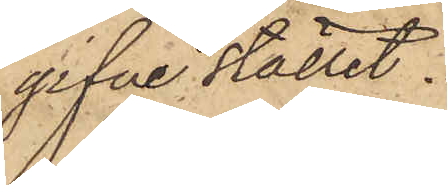gifne stället.
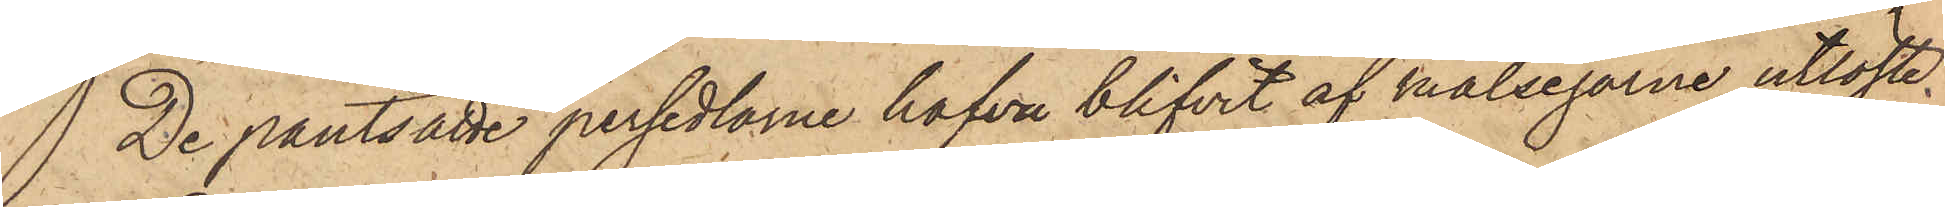 De pantsatte persedlarne hafva blifvit af målsegarne utlöste.
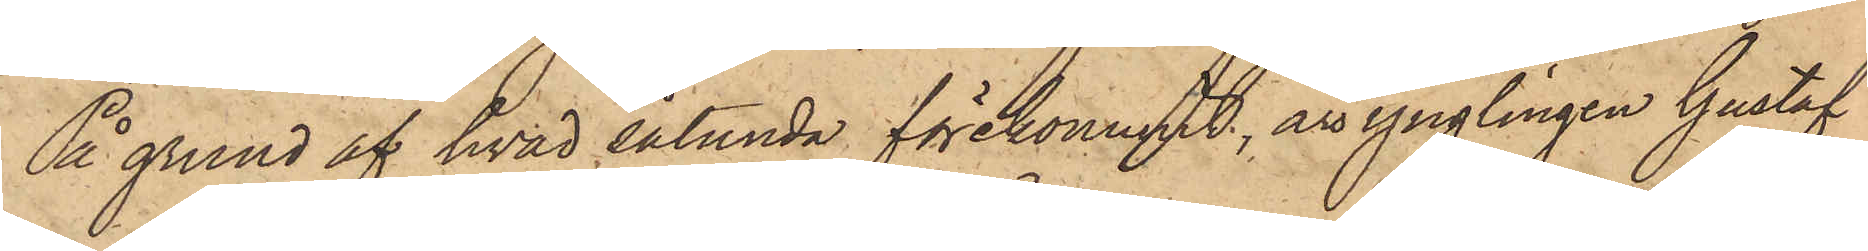På grund af hvad sålunda förekommit, är ynglingen Gustaf
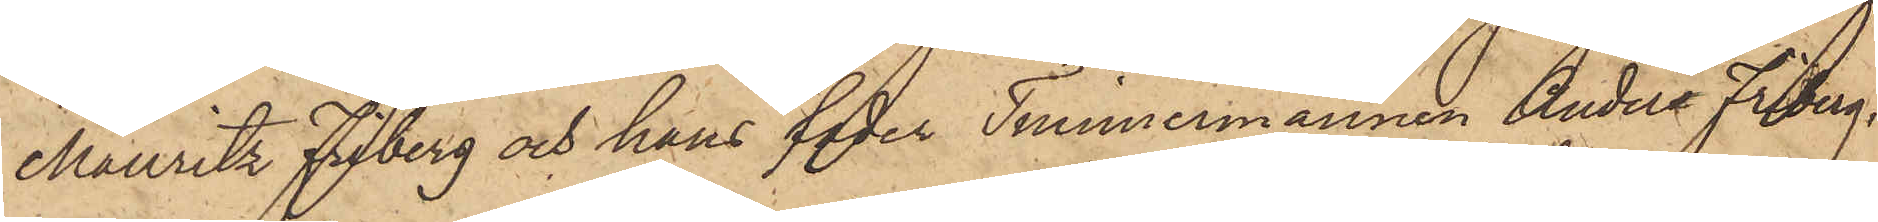Mauritz Friberg och hans fader Timmermannen Anders Friberg,
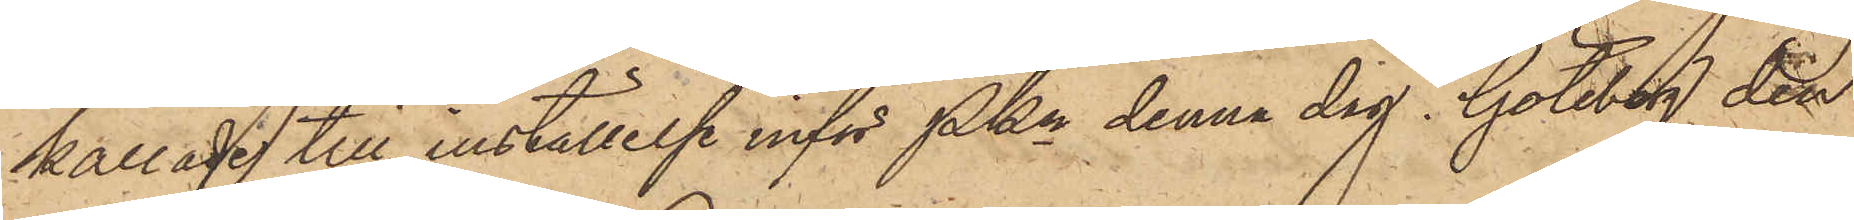kallade till inställelse inför Pkn denna dag. Göteborg den
